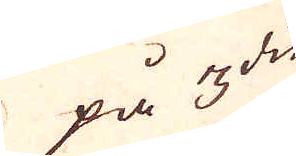på  3:die
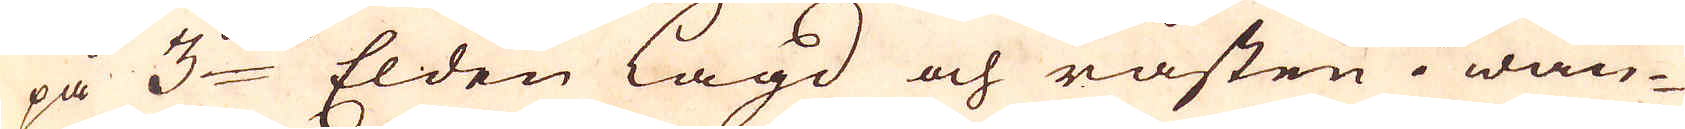på 3:die Elden lagd och råsten i wän-
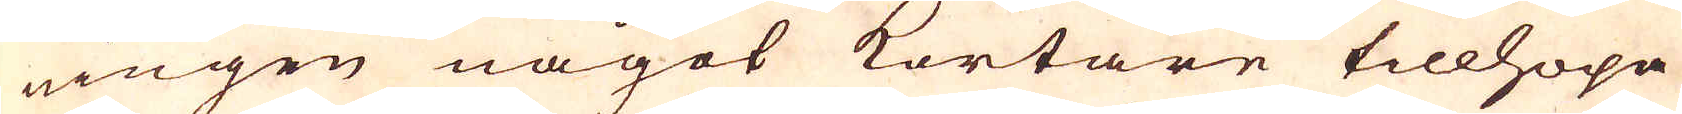ningen något kortare tillhopa
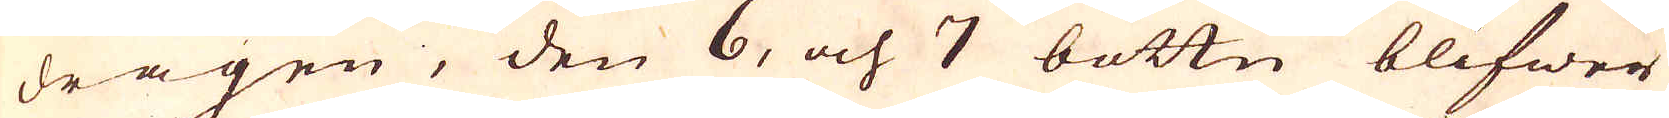dragen, den 6, och 7 bottn blifwer
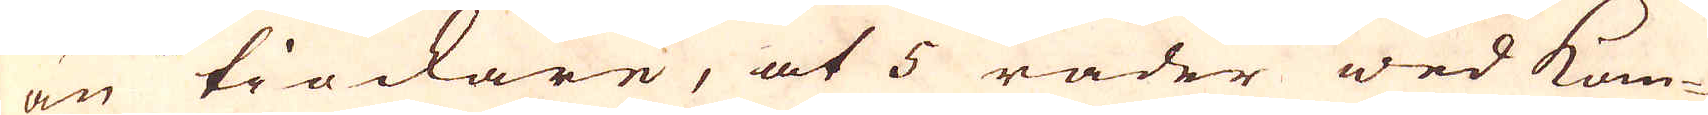än tiockare, at 5 rader wed kom-
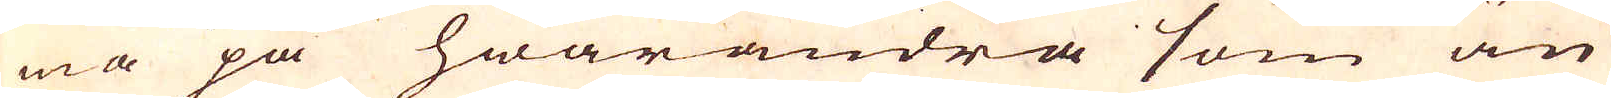ma på hwarandra som än
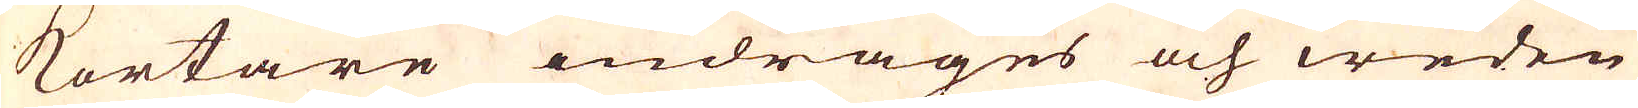kortare indrages och weden
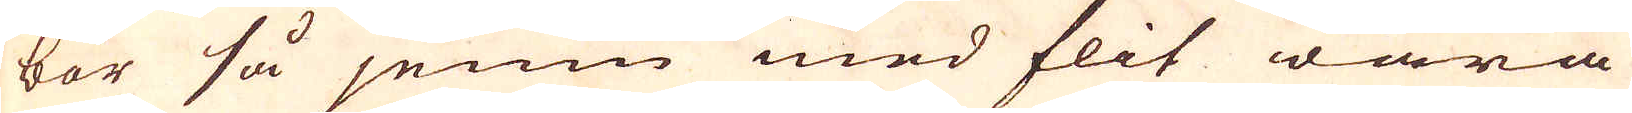bör så jemn med flit wara
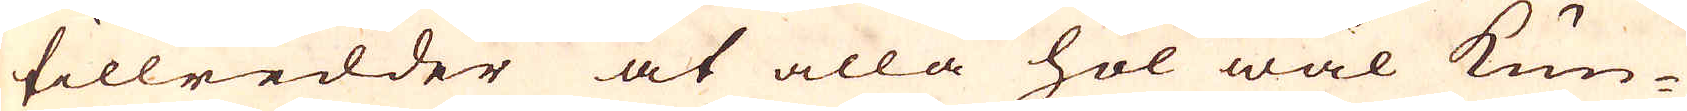tillredder at alla hol wäl kun-
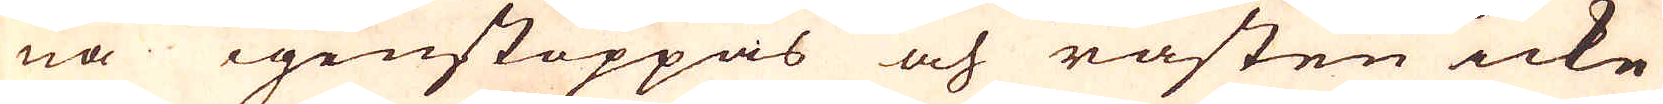na igenstoppas och råsten icke
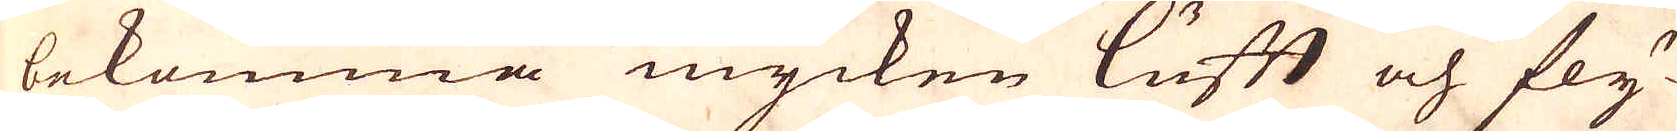bekomma mycken lufft och fly-
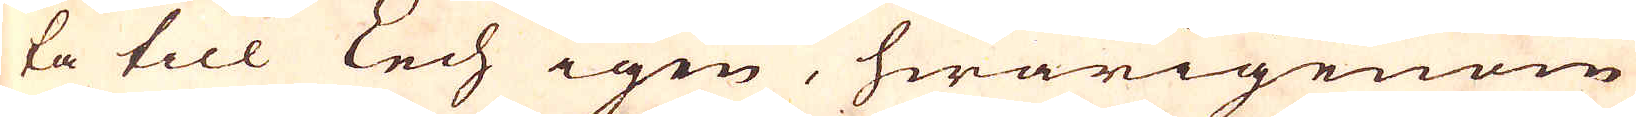ta till Lech igen, hwarigenom
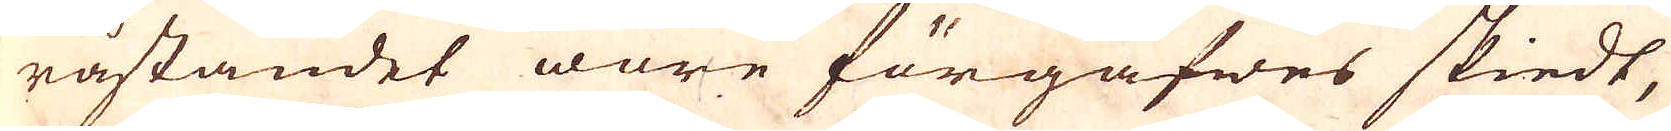råstandet ware förgäfwes skiedt,
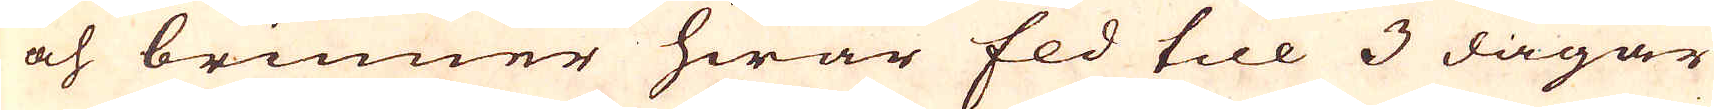och brinner hwar Eld till 3 dagar
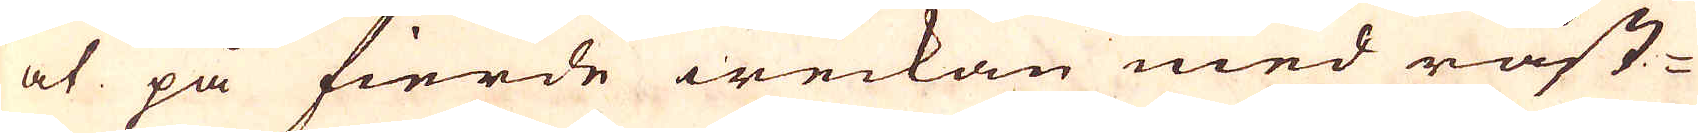at på fierde weckan med råst-
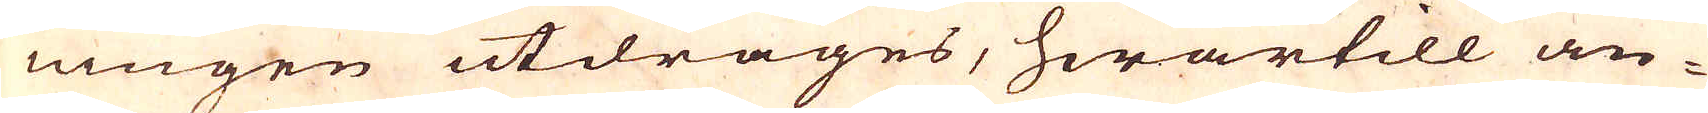ningen utdrages, hwartill an-
